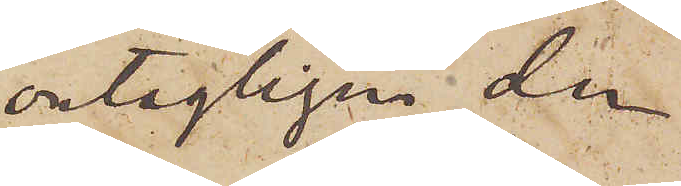antagligen den
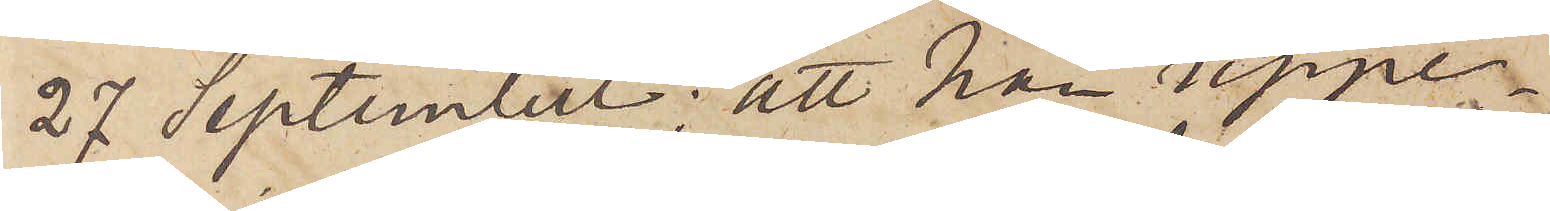27 September; att han uppe¬
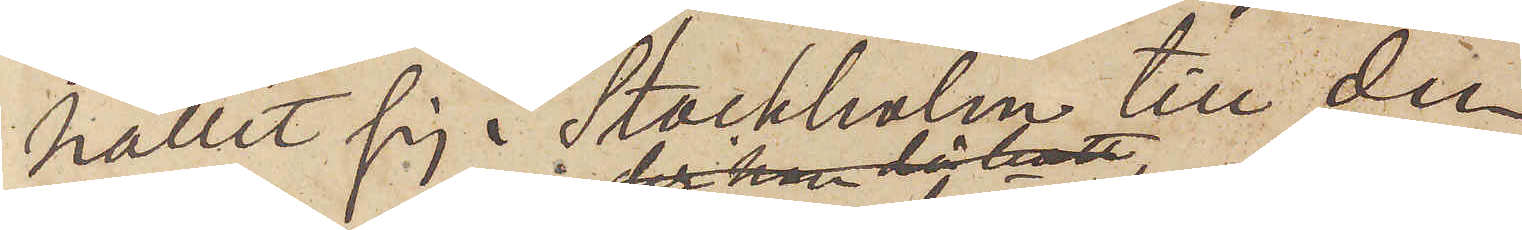hållit sig i Stockholm till den
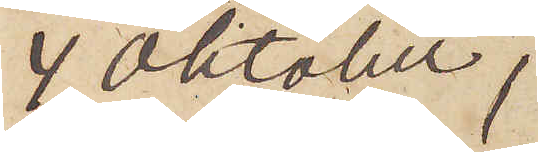4 Oktober,
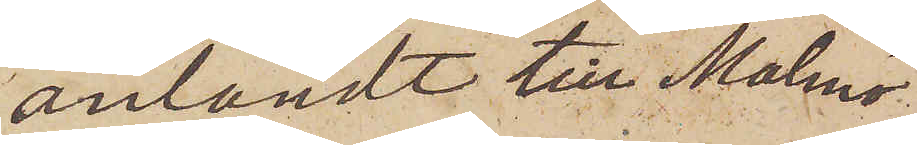anländt till Malmö,
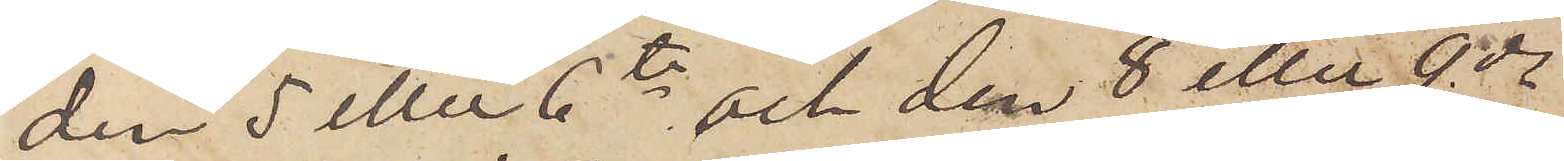den 5 eller 6te och den 8 eller 9de
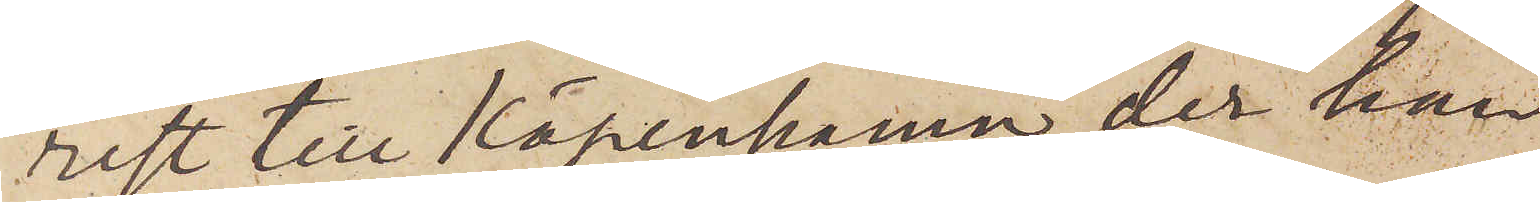rest till Köpenhamn, der han
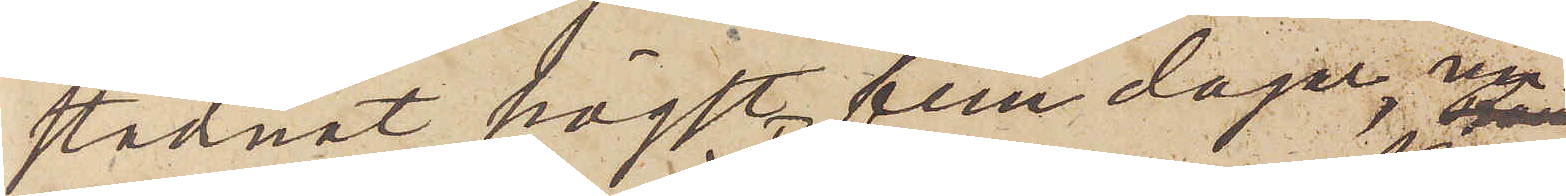stadnat högst fem dagar, un¬
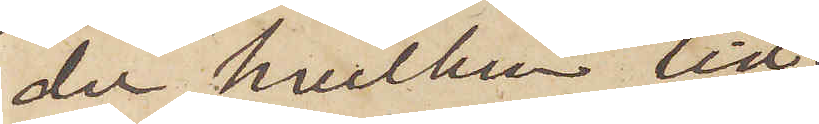der hvilken tid
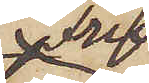Fru
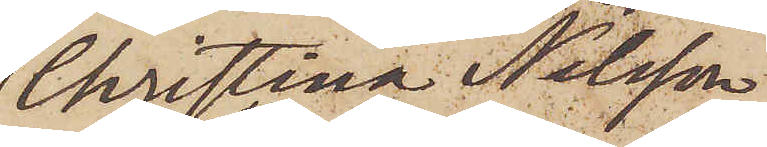Christina Nilsson
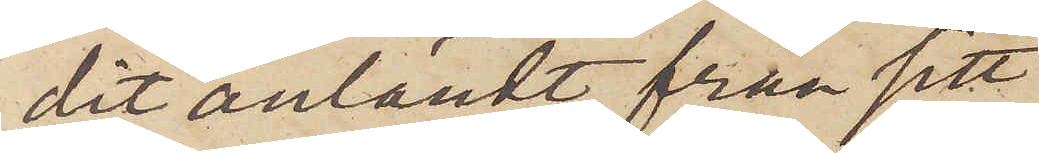dit anländt från sitt
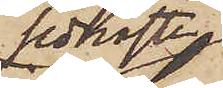senaste
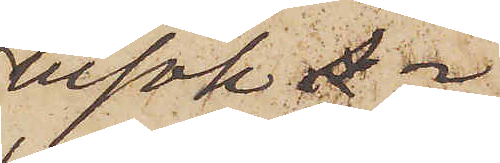besök i
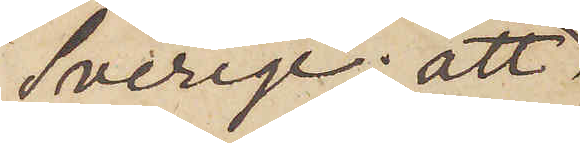Sverige; att
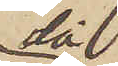då
